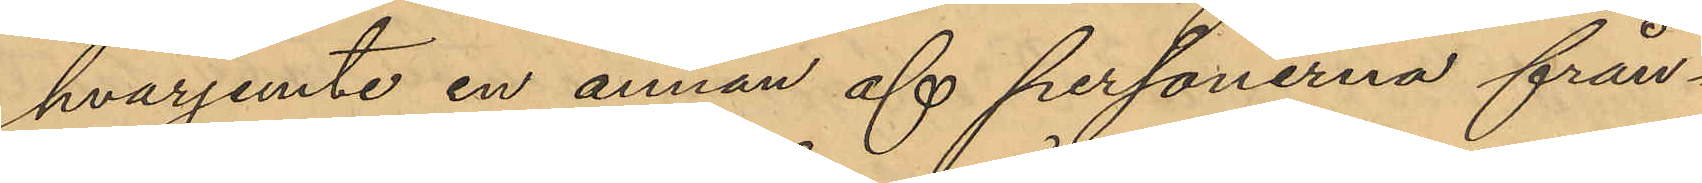hvarjemte en annan af personerna från¬
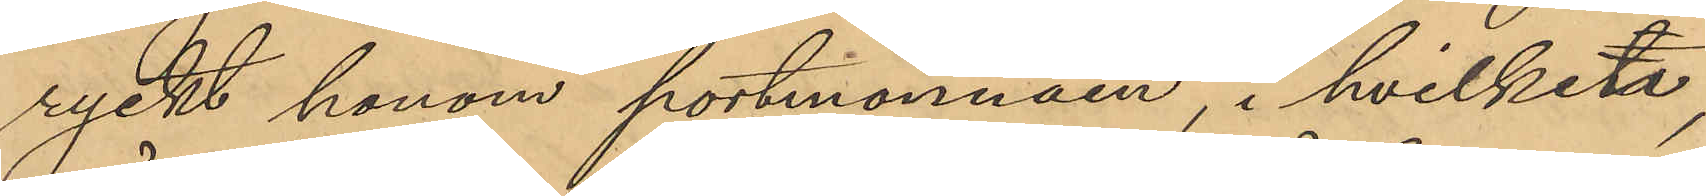ryckt honom portmonnäen, i hvilken,
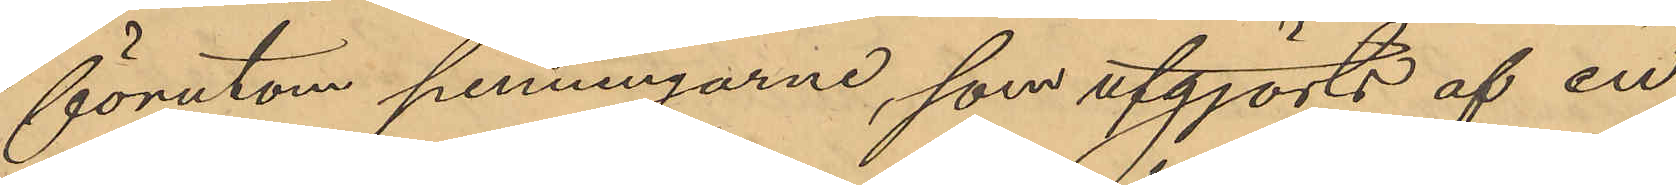förutom penningarne, som utgjorts af en
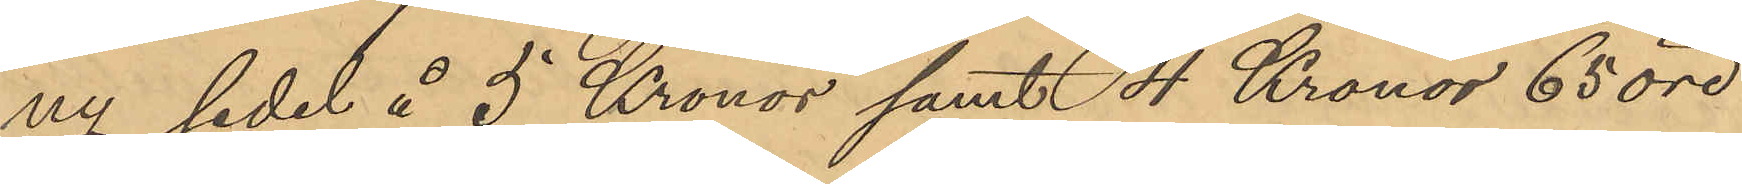ny sedel å 5 Kronor samt 4 Kronor 65 öre
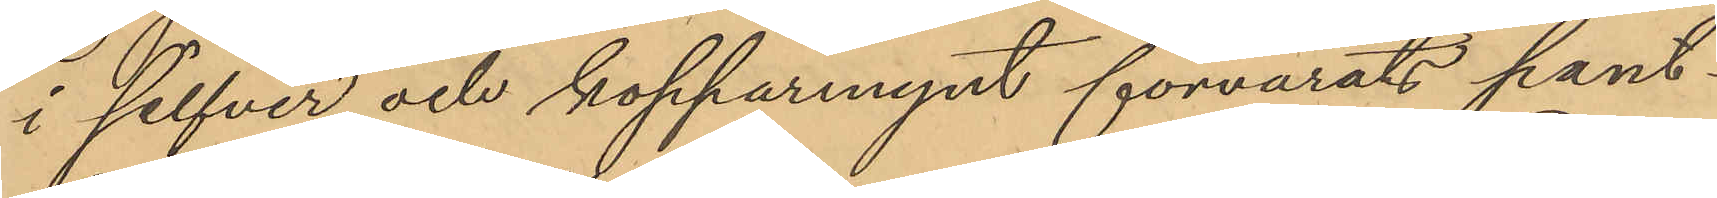i silfver och kopparmynt förvarats pant¬
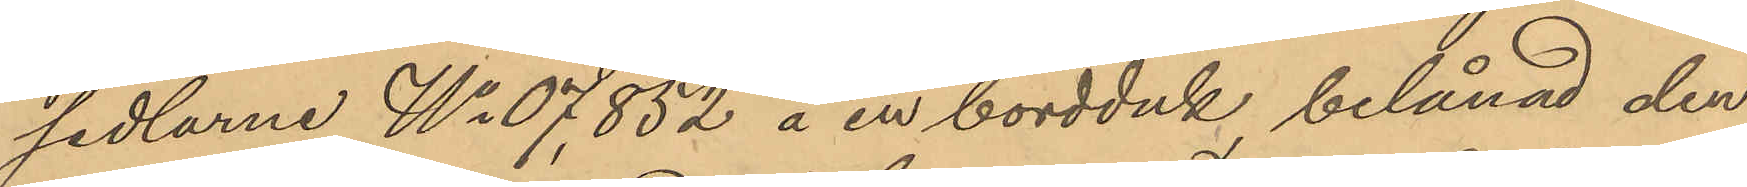sedlarne No 07,852 å en bordduk belånad den
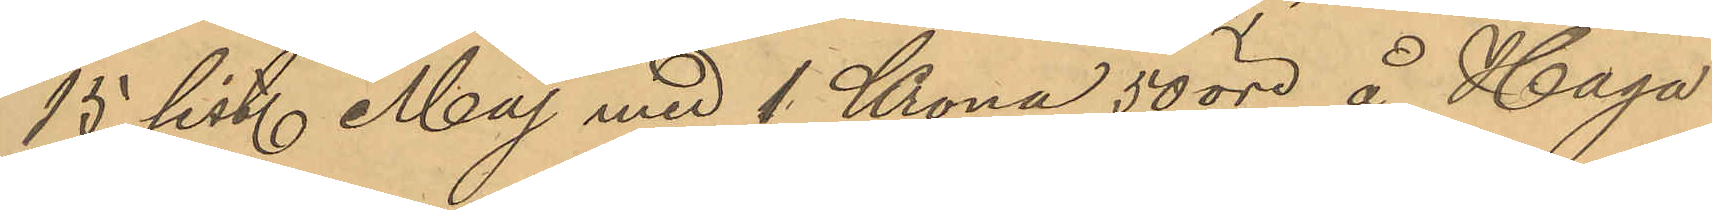15 sist. Maj med 1 Krona 50 öre å Haga
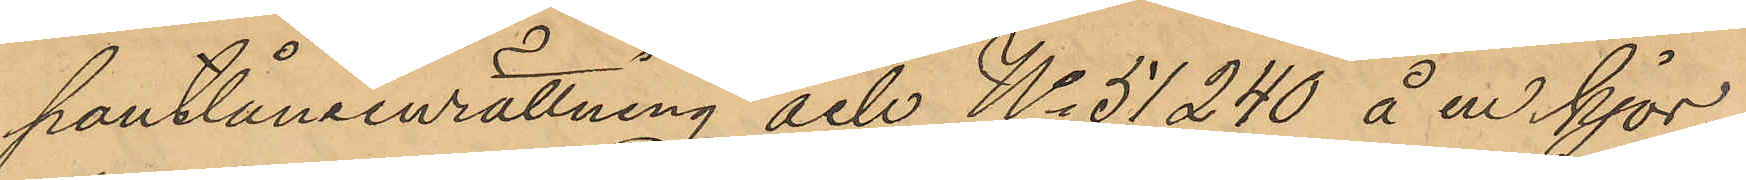pantlåneinrättning och No 51,240 å en kjor¬
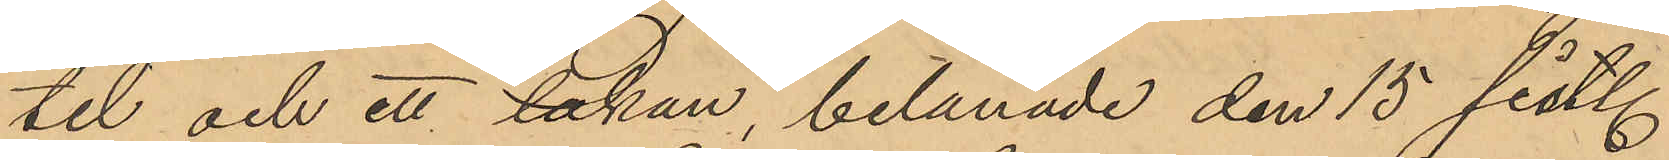tel och ett lakan, belånade den 15 sist.
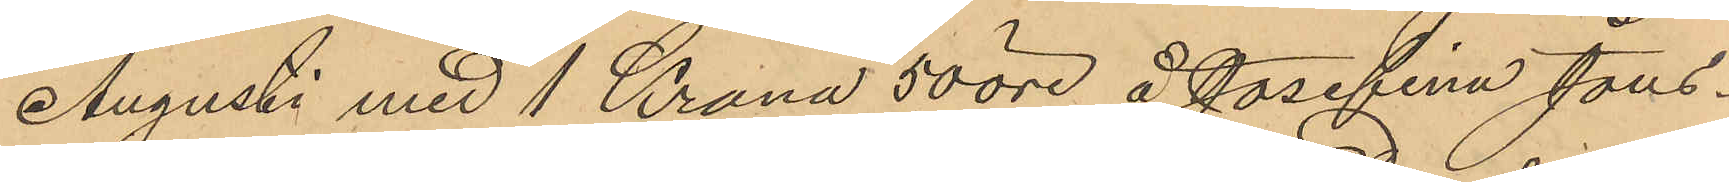Augusti med 1 Krona 50 öre å Josefina Jons¬
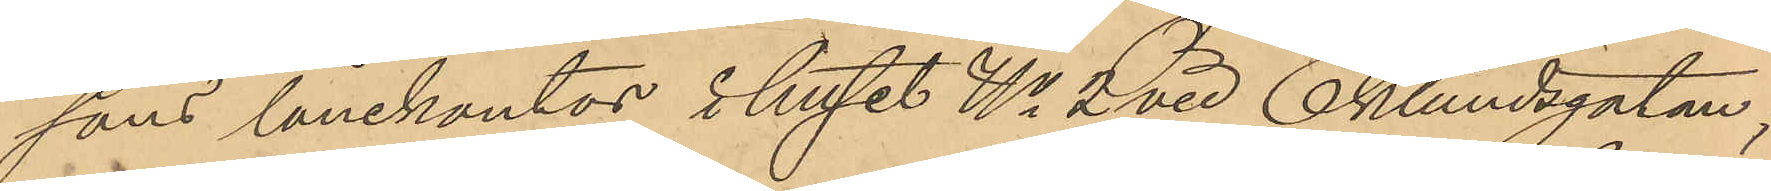sons lånekontor i huset No 2 vid Eklundsgatan;
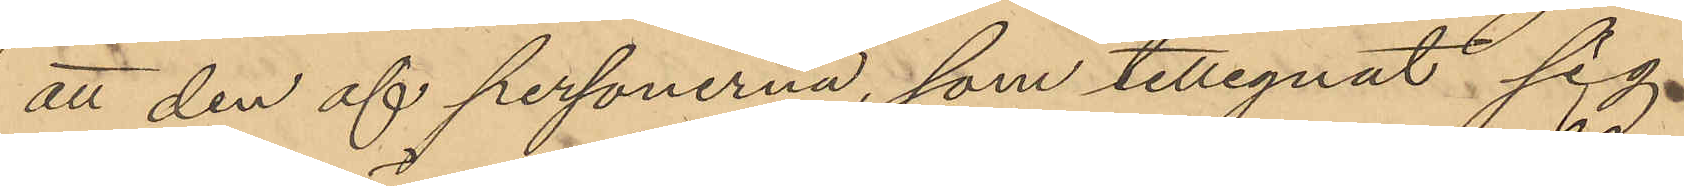att den af personerna, som tillegnat sig
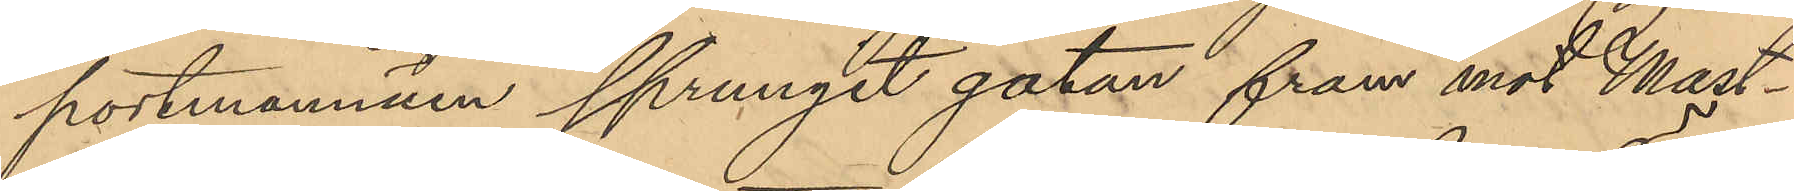portmonnäen sprungit gatan fram mot Mast¬
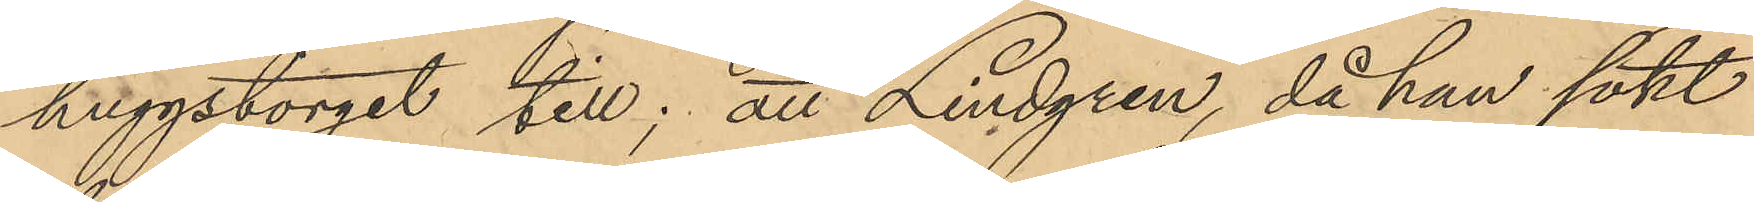huggstorget till; att Lindgren, då han sökt
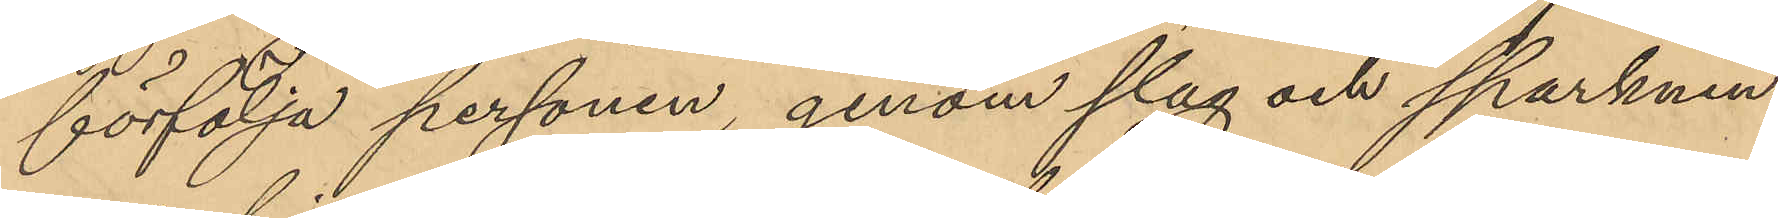förfölja personen, genom slag och sparknin¬
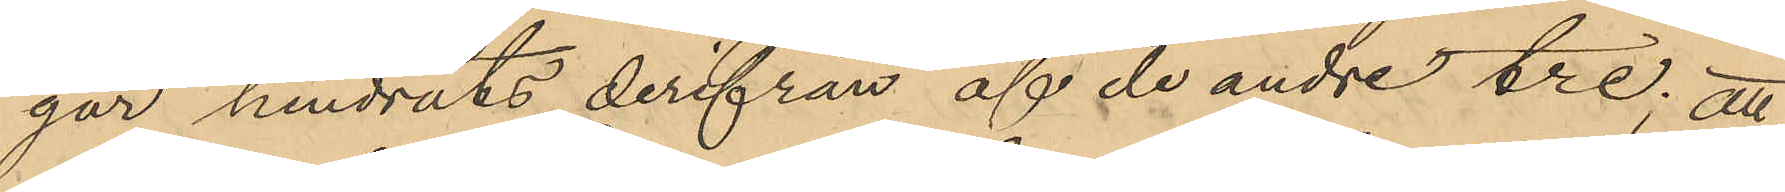gar hindrats derifrån af de andre tre; att
